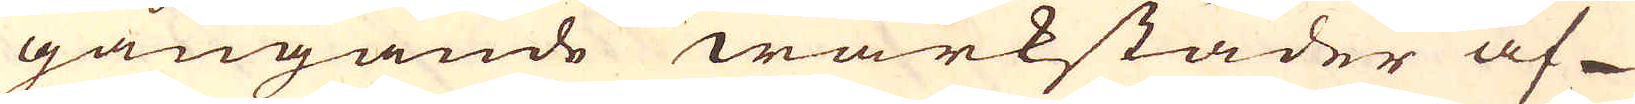gångande wärkstäder af
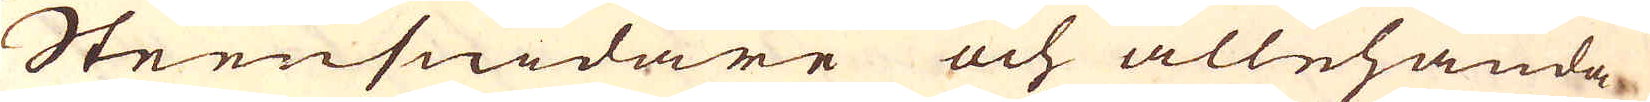Steensnidare och allehanda
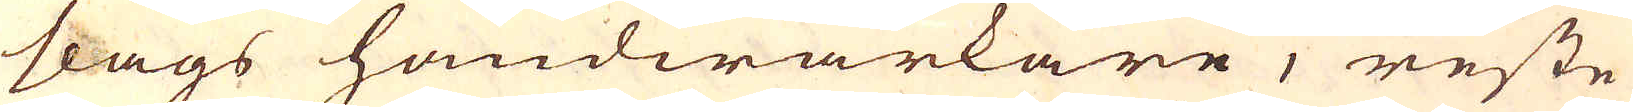slags handwärkare, reste
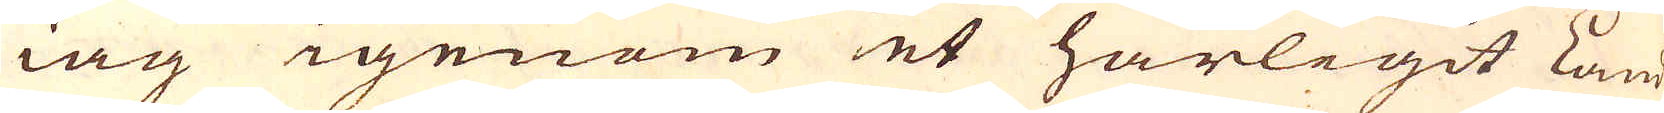iag igenom et härligit land
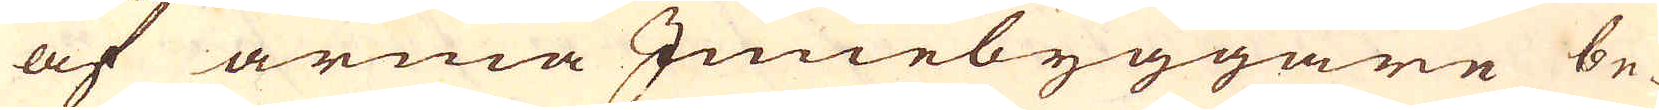af arma Innebyggare be-
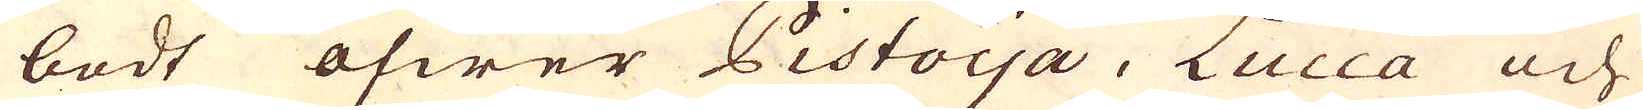bodt öfwer Pistoya, Lucca och
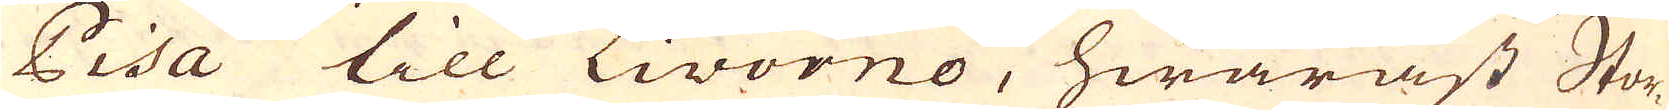Pisa till Livorno, hwaräst Stor-
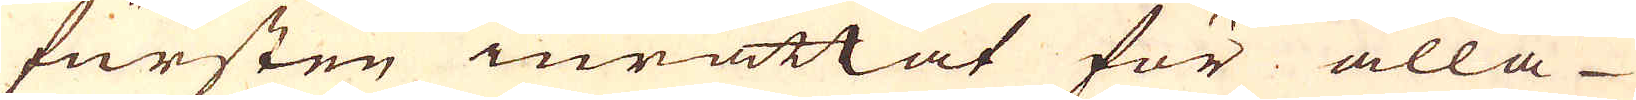fursten inrättat för alla
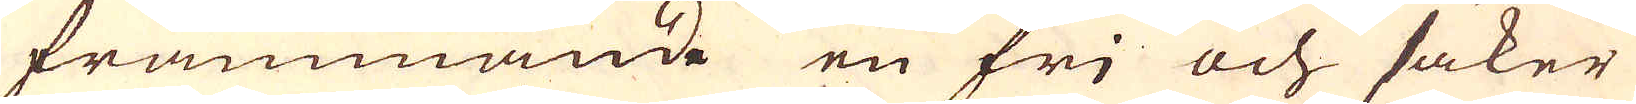främmande en fri och säker
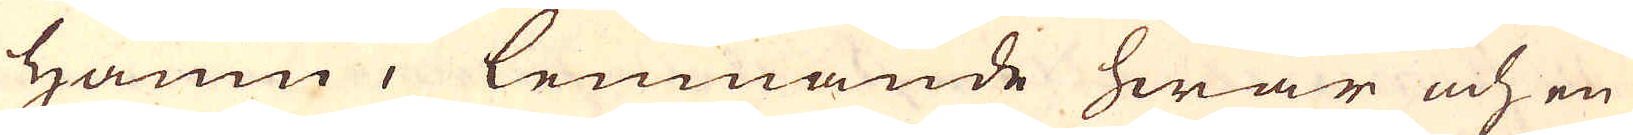hamn, lemnande hwar och en
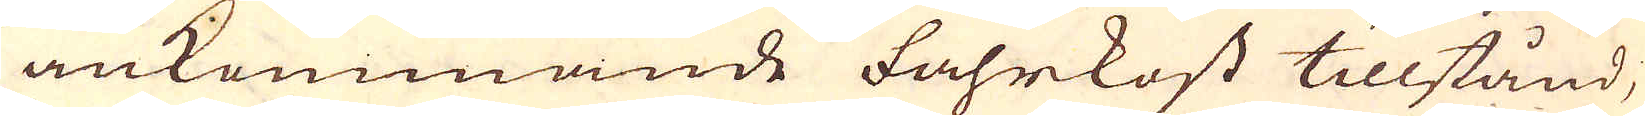ankommande fahrkost tillstånd,
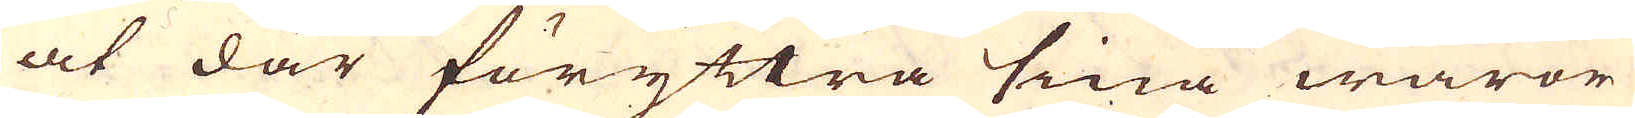at där föryttra sina waror
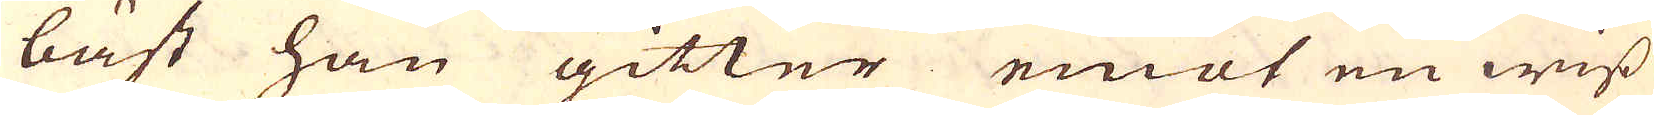bäst han gitter emot en wiss
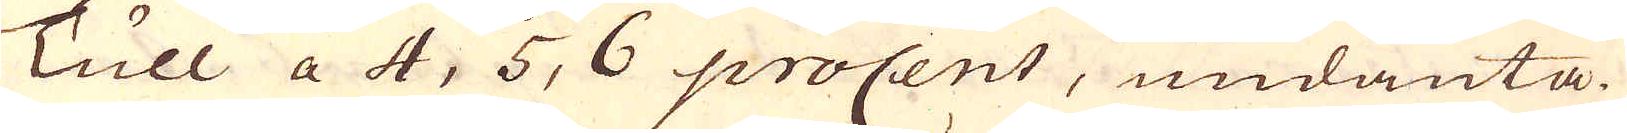Tull a 4, 5, 6 procent, undanta-
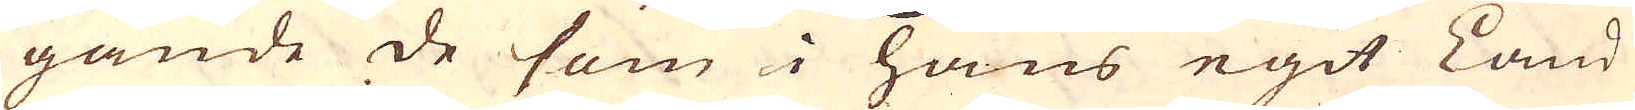gande de som i hans egit Land
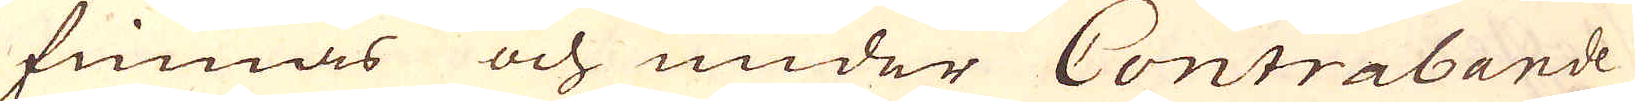finnas och under Contrabande
